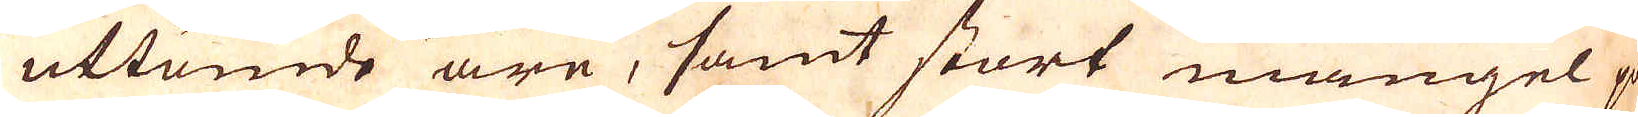uttömde äre, samt stort mangel på
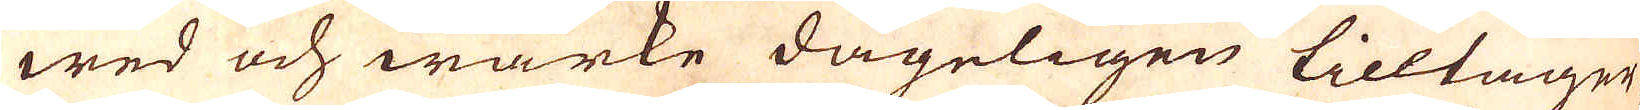wed och wärke dageligen tilltager,
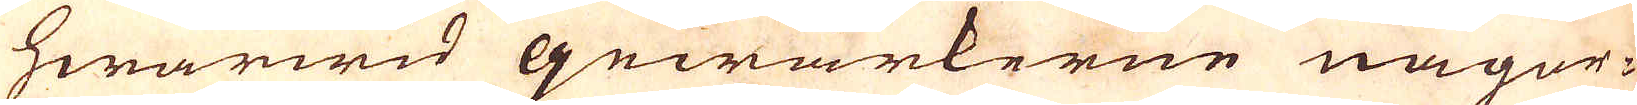hwarwid gewärkerne någor-
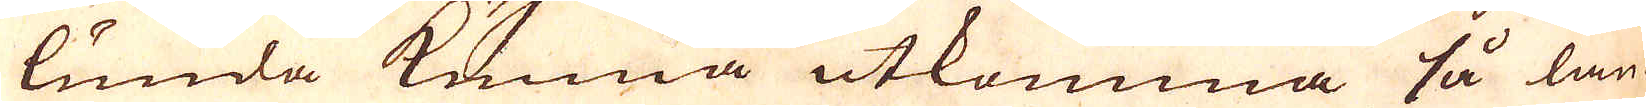lunda kunna utkomma så län-
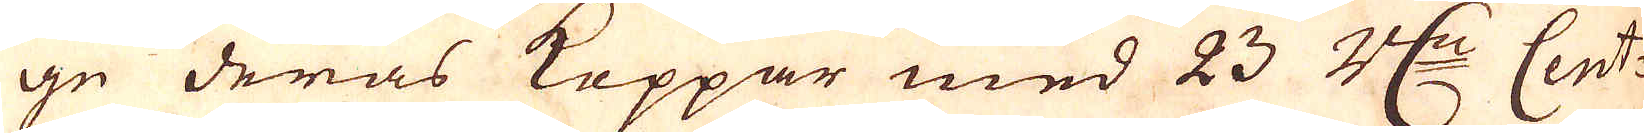ge deras Koppar med 23 r:dr Cent:
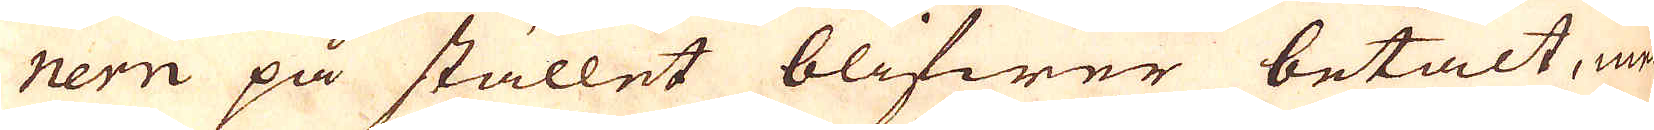nern på stället blifwer betalt, men
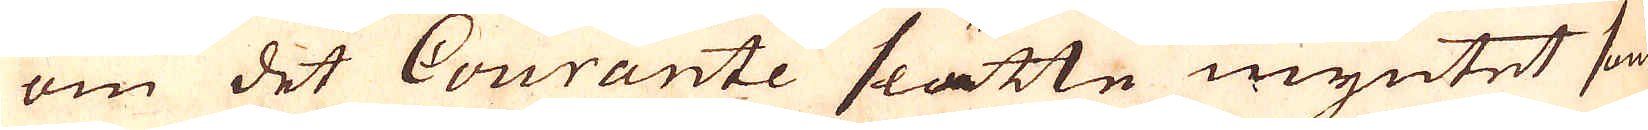om det Courante slätte myntet som
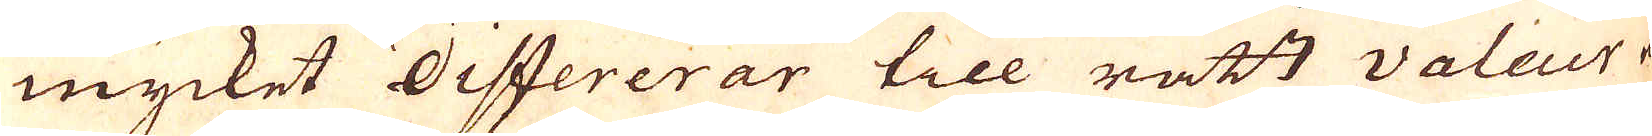mycket differerar till rätt valeur war
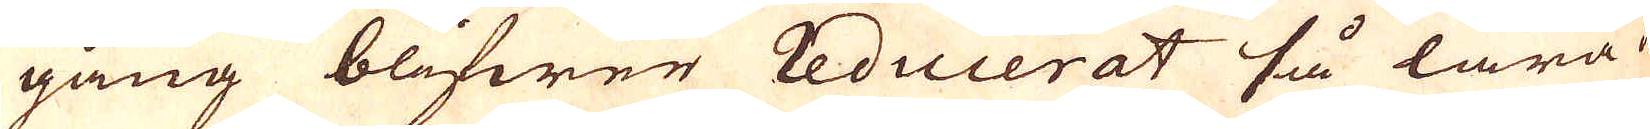gång blifwer reducerat så lära de
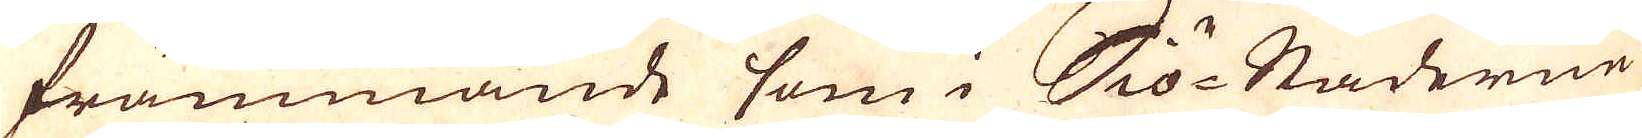främmande som i Siö-Städerne
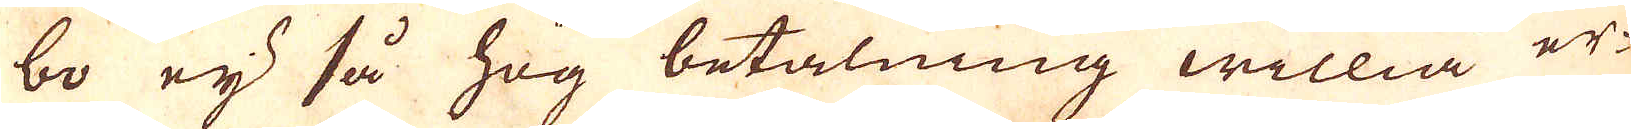bo eij så hög betalning willia er-
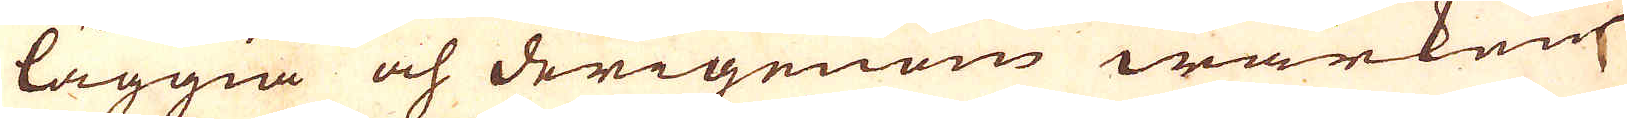läggia och derigenom wärken
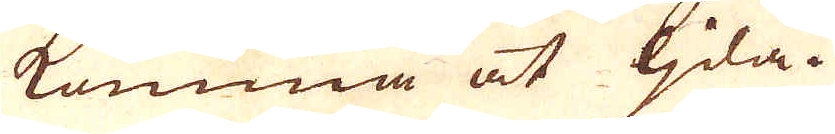komma at ljda.
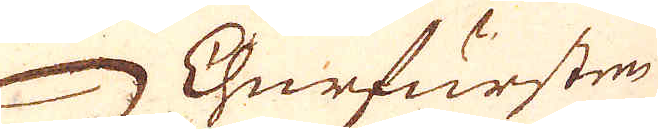Churfursten
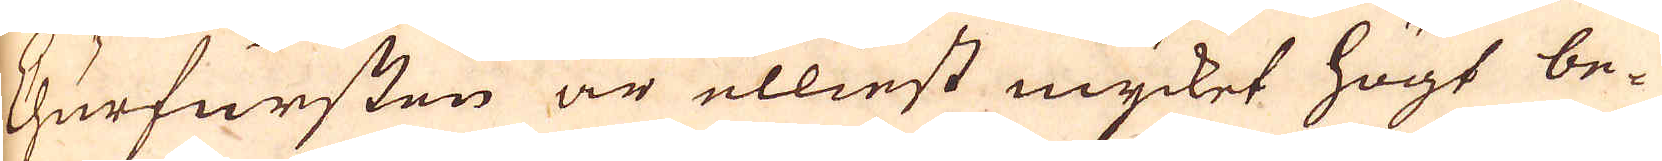Churfursten är elliest mycket högt be-
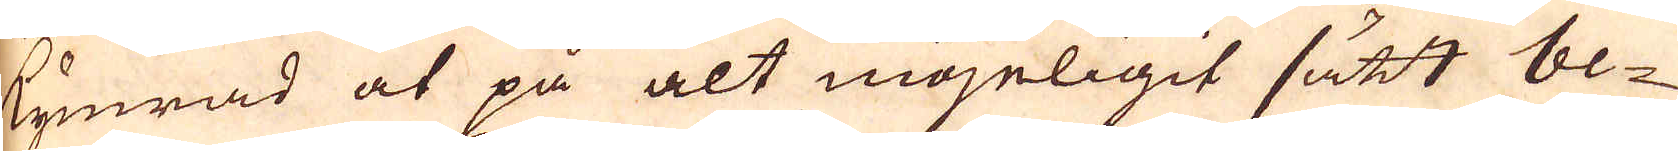kymrad at på alt möjeligit sätt be-
